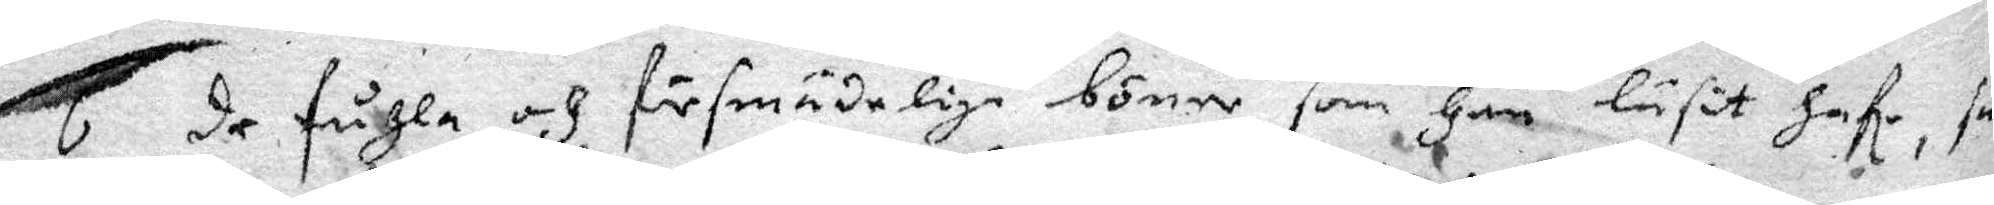6 de fuhla och försmädeliga böner som Han läsit hafe, säg
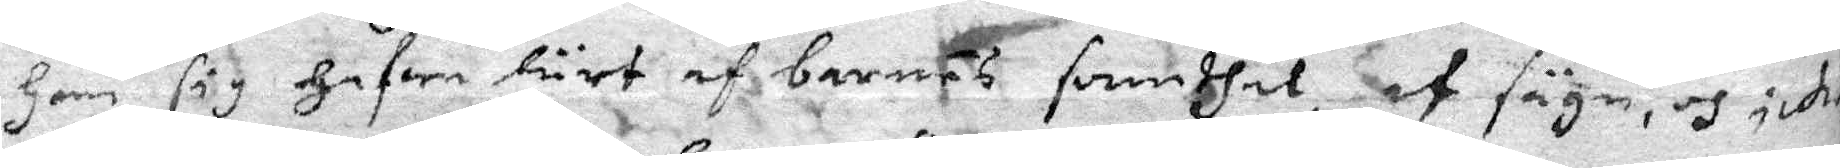Han sig Hafwa lärt af barnäs samdhet, af sägn, och ji
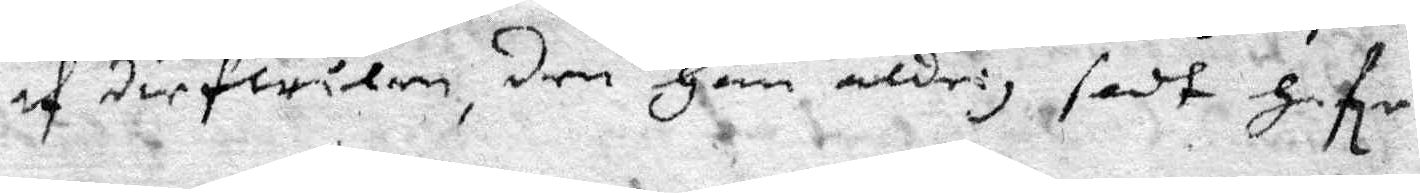af diefwilen, den Han aldrig sedt hafe.
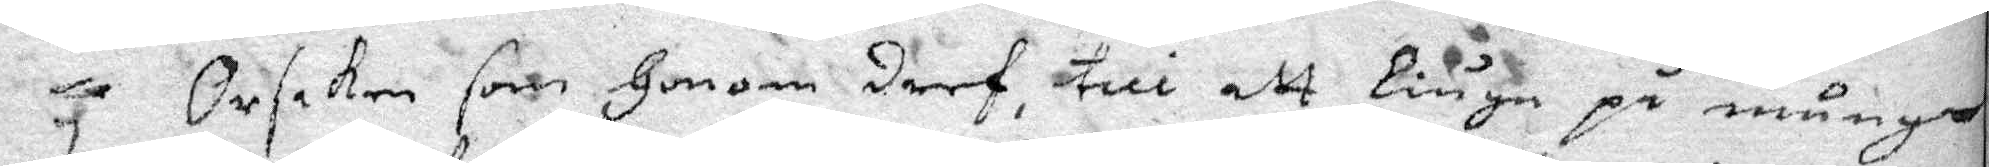7 Orsaken som Honom dref , till att liuga på många
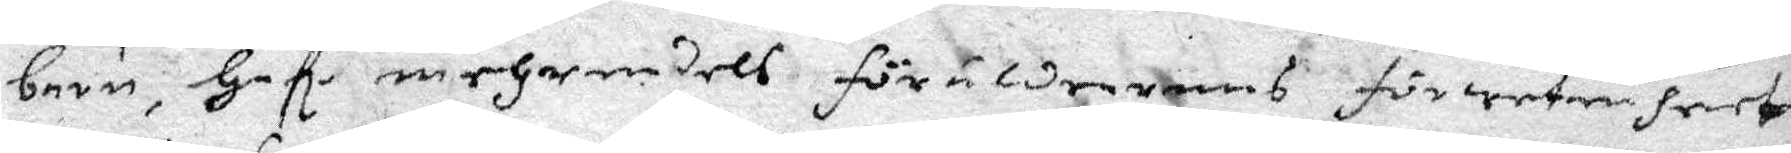barn, Hafe mehrendels föräldrarnas förwetenheet
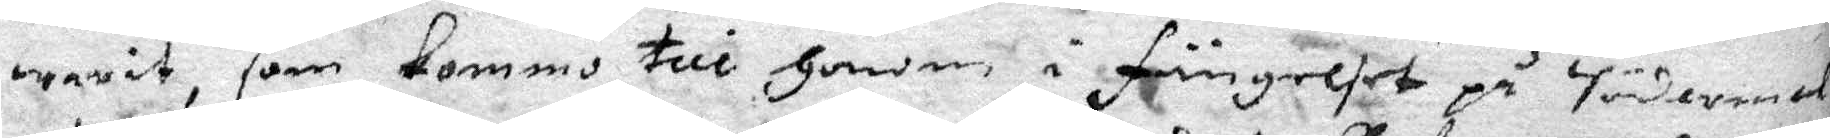warit, som Kommo till Honom i fängelset på Södermalm
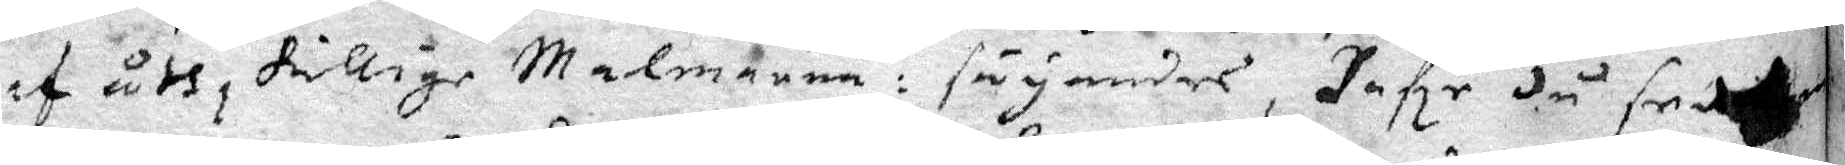af åtskillige Malmarna: säyandes, Hafe du sedt 
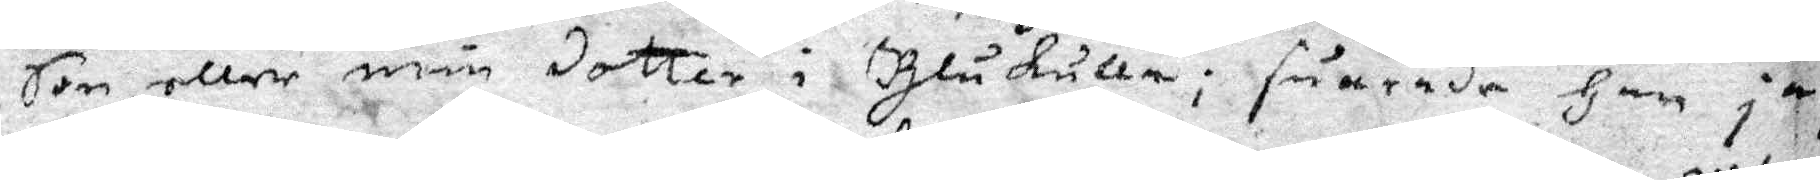Son, eller min dotter i Blåkulla; suarade Han ja,
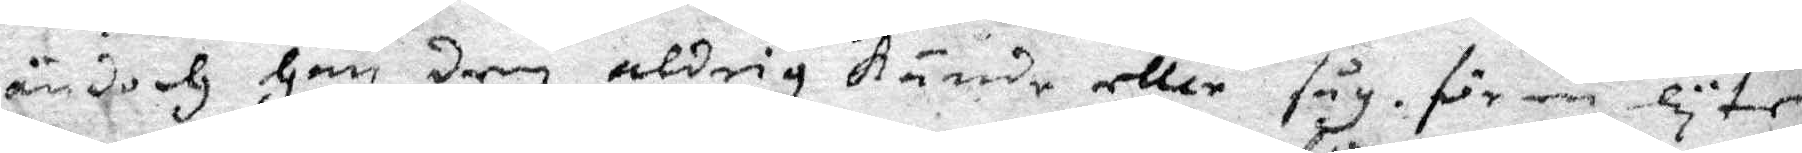ändoch Han dem aldrig Kände eller såg för en lyten
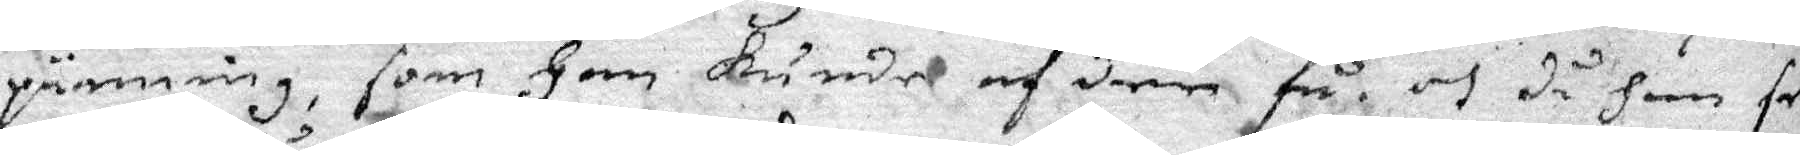pänning, som Han Kunde af dem få, och då han sen
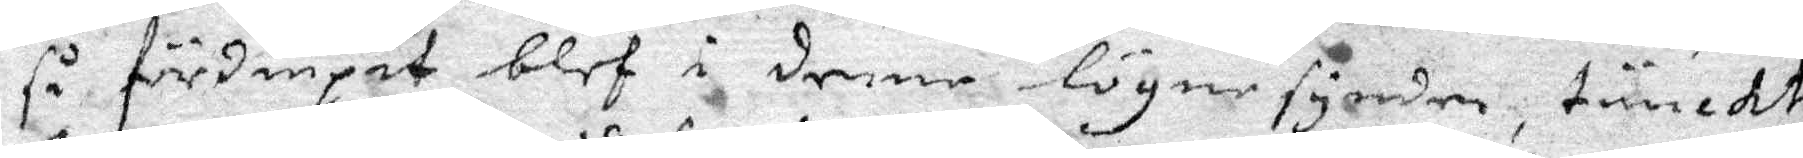så fördiupat blef i denne lögnesynden, tänckte
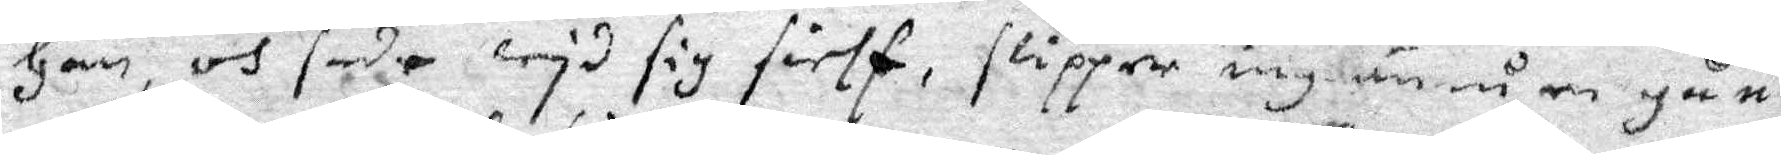Han, och sade wid sig sielf, slipper iag ännu en gång
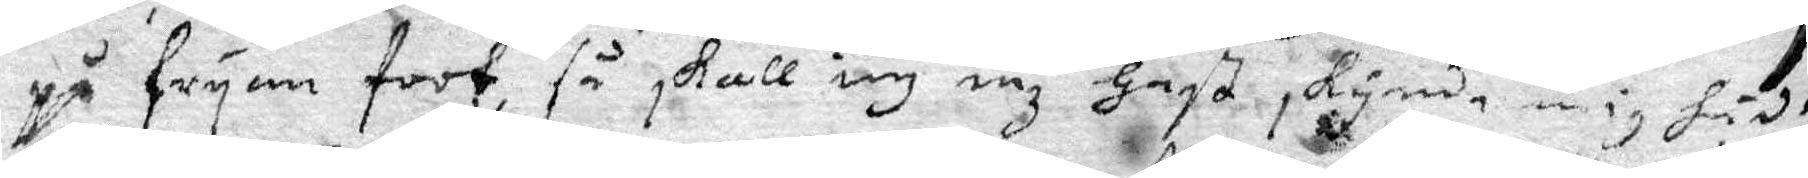på fryan foot, så skall iag inz hast skynda mig hädan
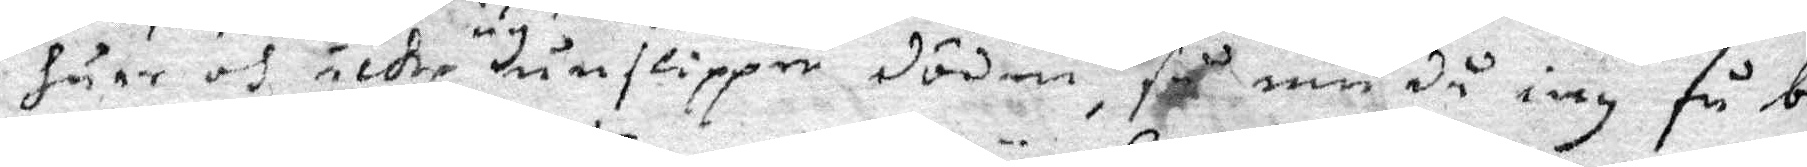huar och icke ey unslipper döden, så nu då iag så be¬
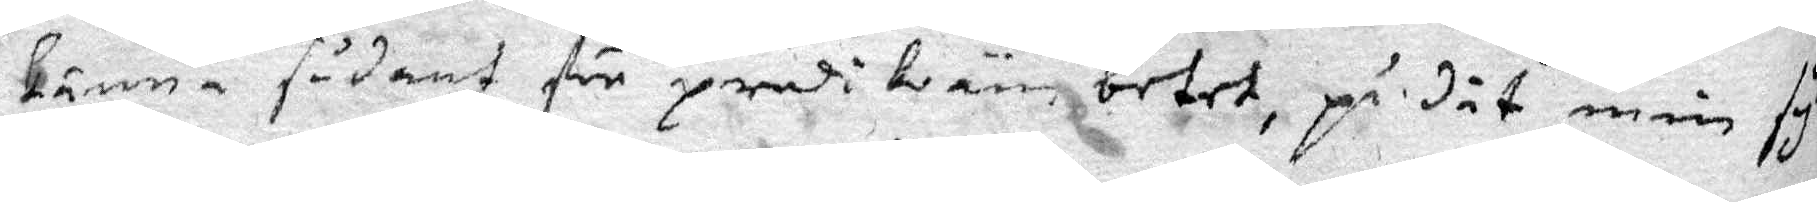känna sådant för predikoämbetet, på det min synd
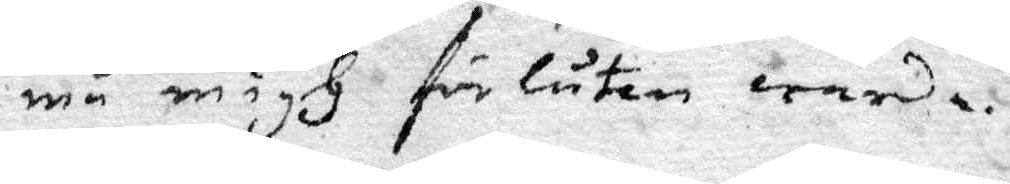må migh förlåten warda.
